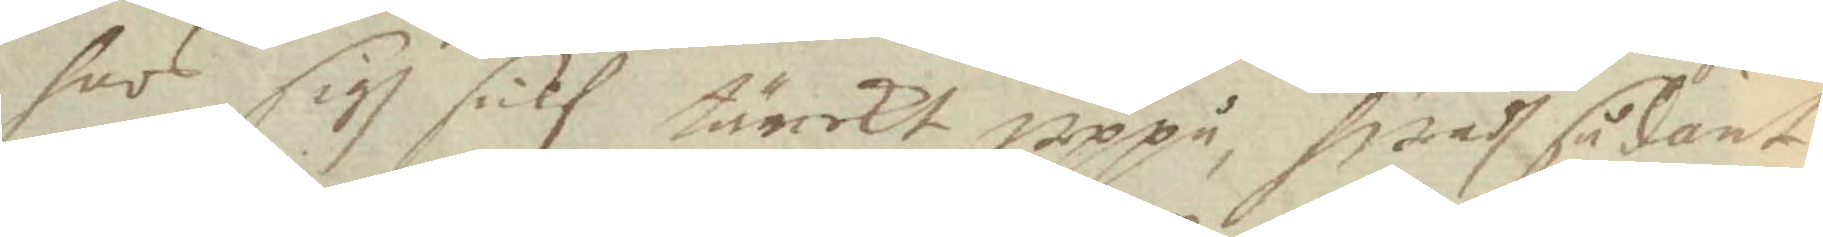hoos sigh sielf tänckt uppå, hwadh sådant
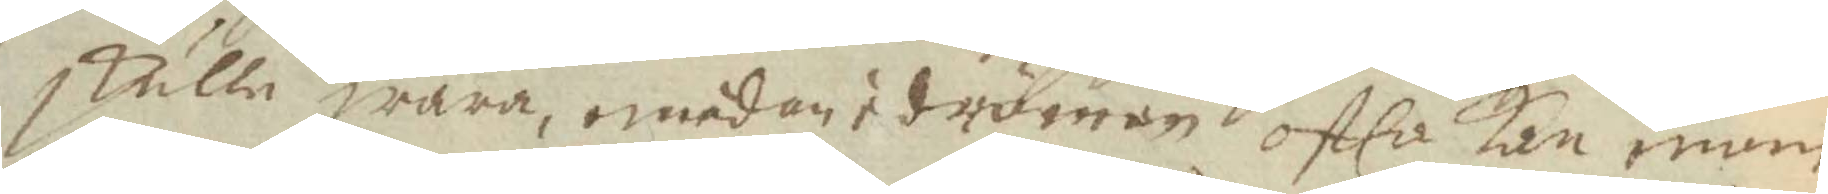skulle wara,emedan i drömmen ofta kan man
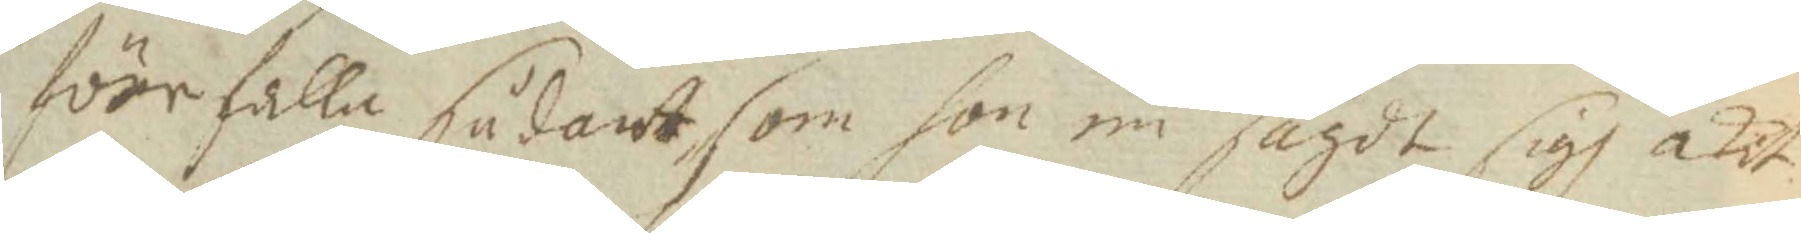förefalla sådant som hon nu sagdt sigh åkit
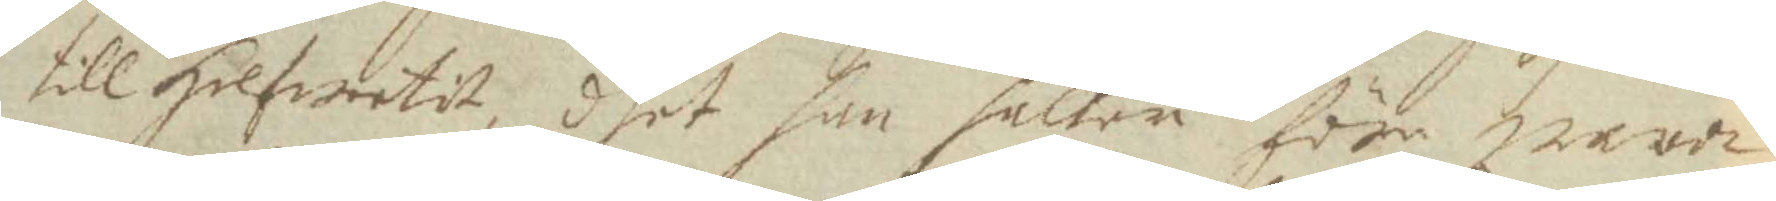till Helfwetit, dhet han håller före wara
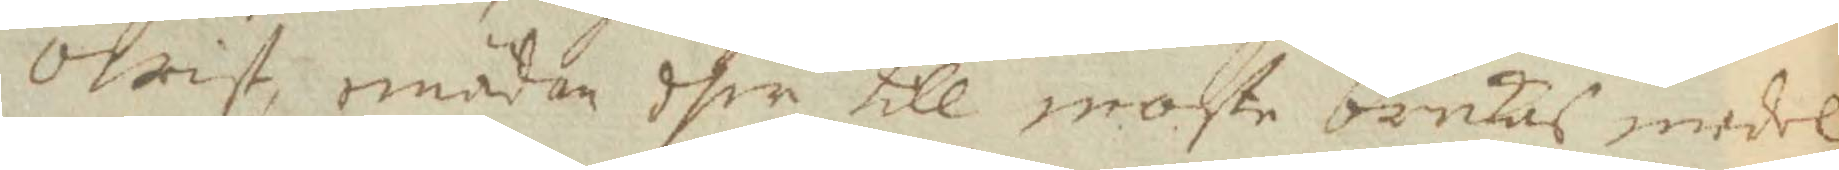owist, emädan dher till moste brukas medel
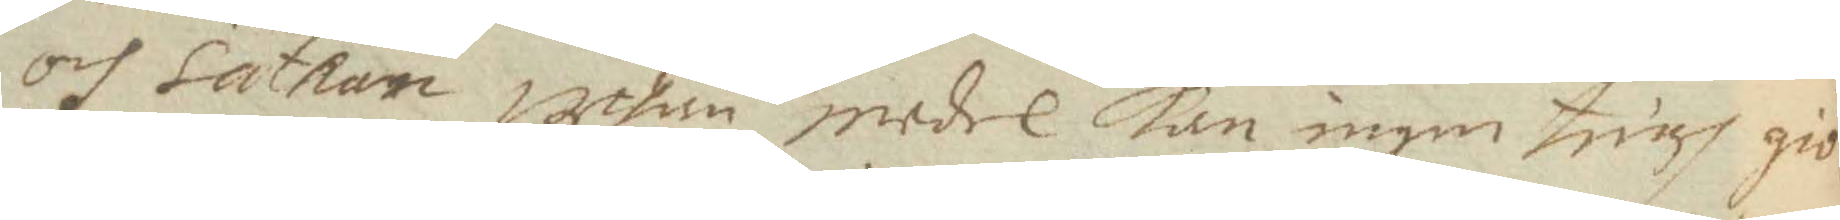och Sathan, uthan medel kan ingen tingh giö¬
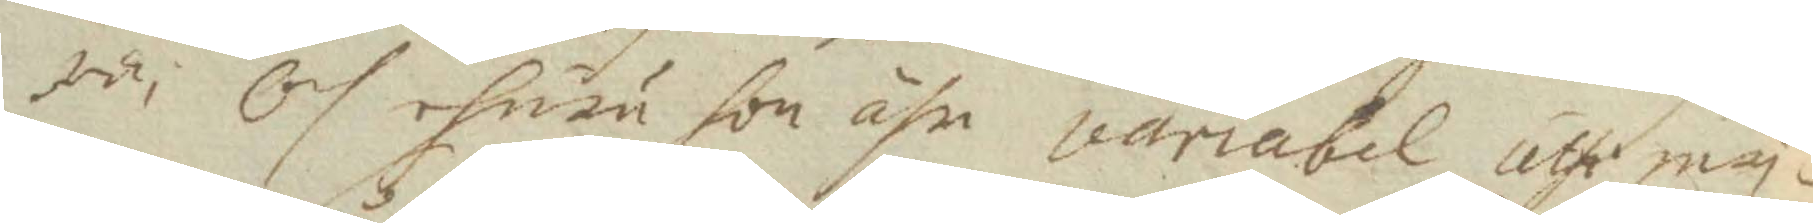ra; Och ehuru hon ähr variabel uthi my¬
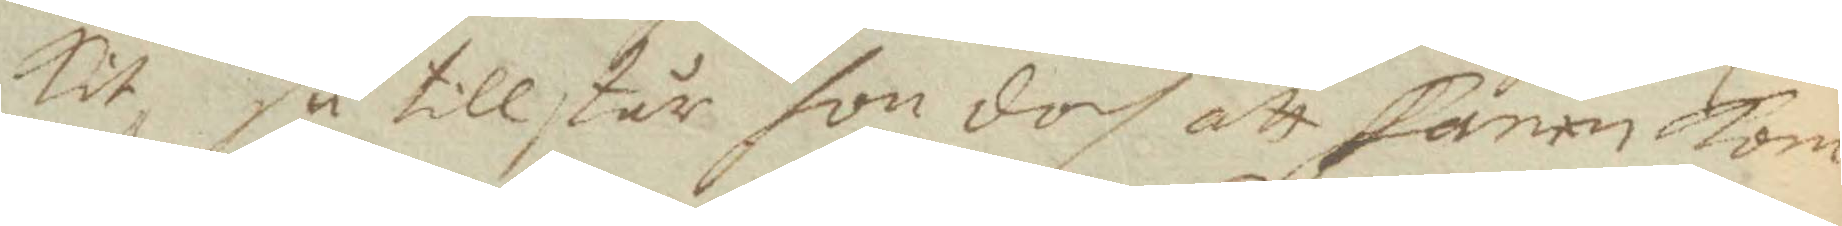kit, så tillstår hon doch att fanen kom¬
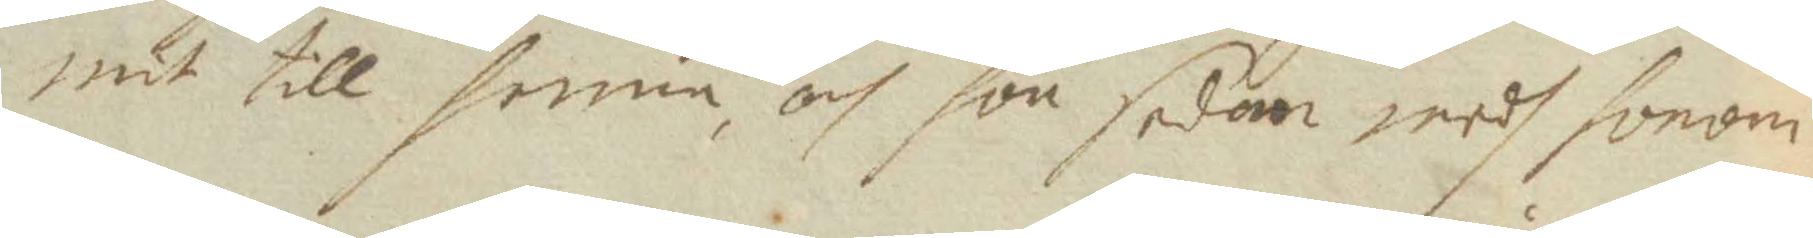mit till henne, och hon sedan medh honom
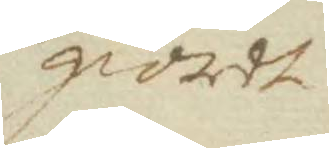giordt
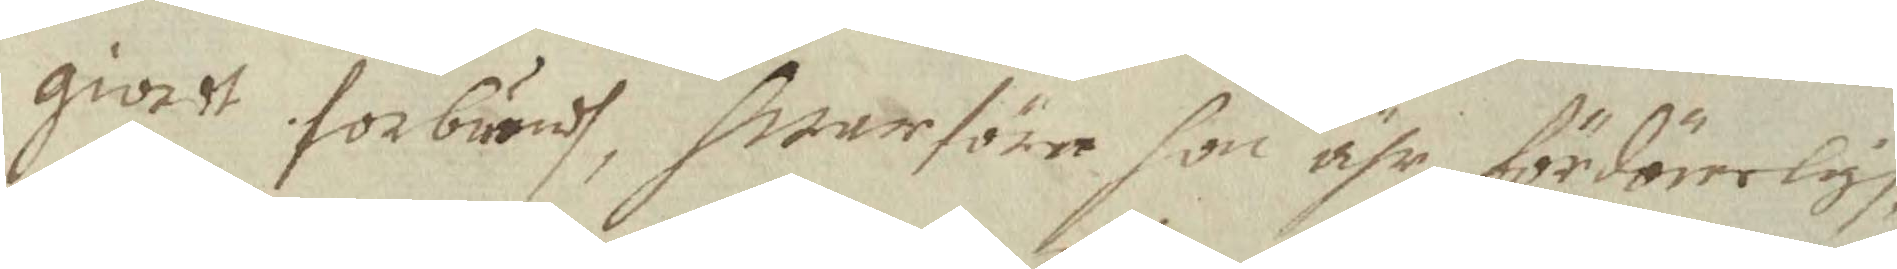giordt förbundh, hwarföre hon ähr fördömeligh
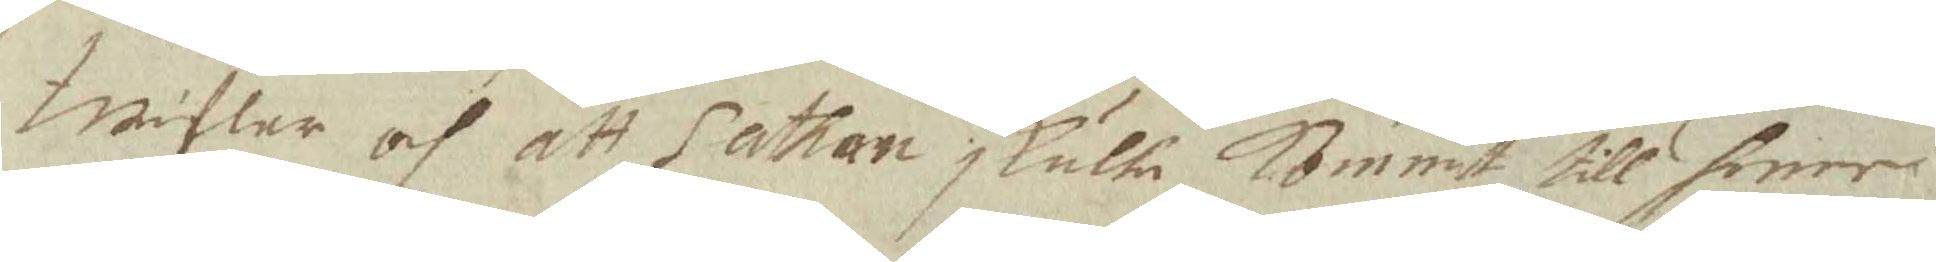twiflar och att Sathan skulle Kommit till henne
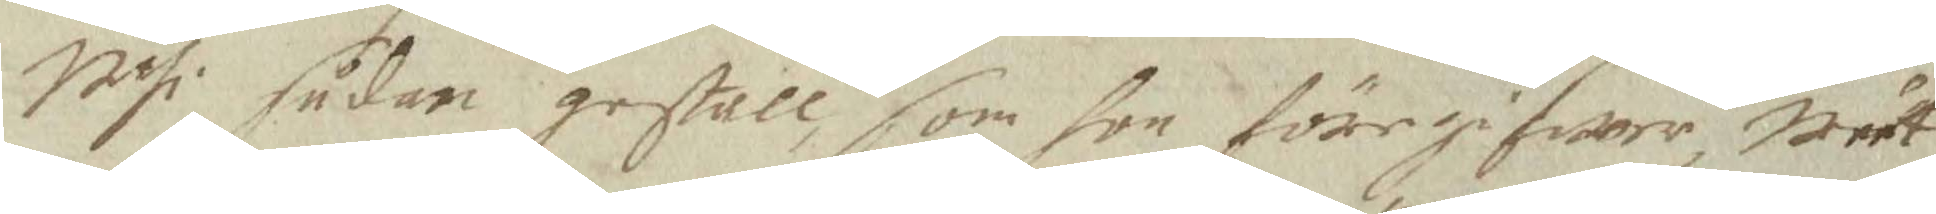Uthi sådan gestall som hon föregifwer, weet
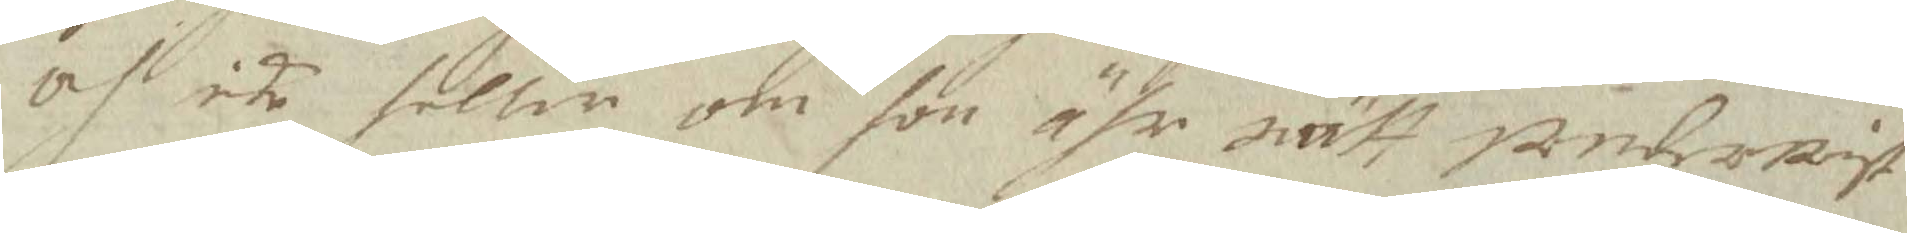och ike heller om hon ähr rätt underwist
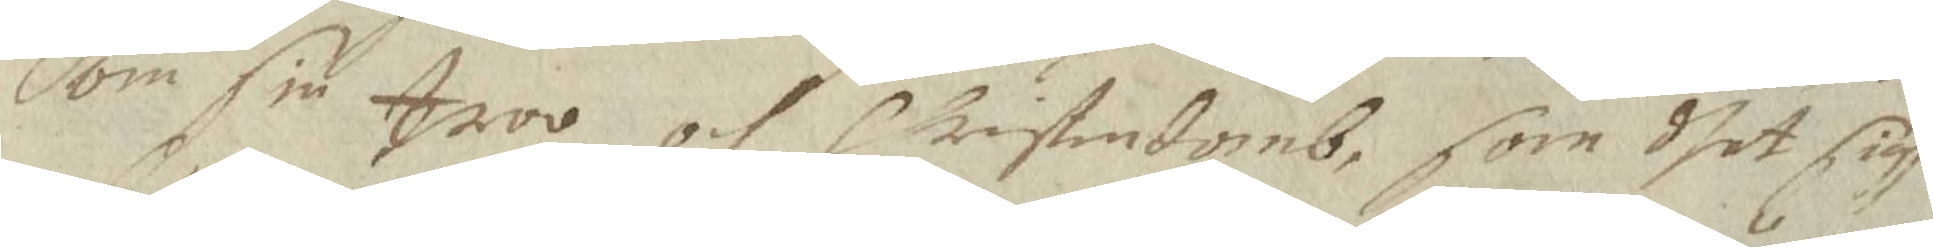om sin troo och Christendomb, som dhet sigh
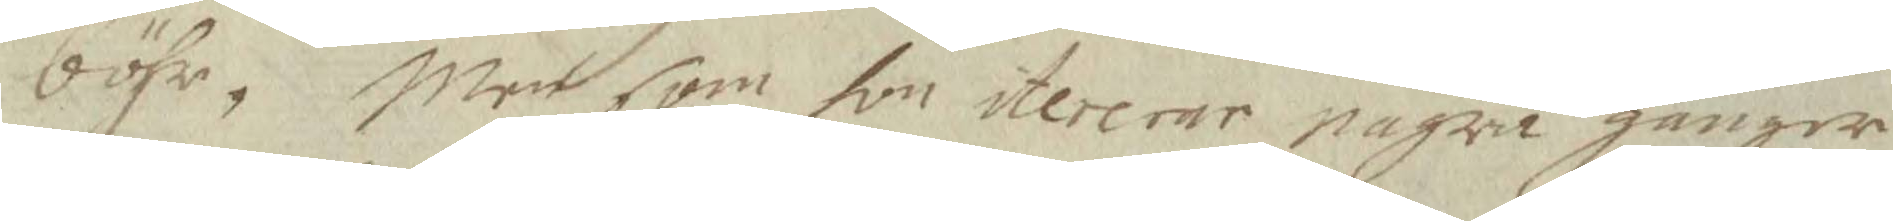böhr; Men som hon itererar några gånger
